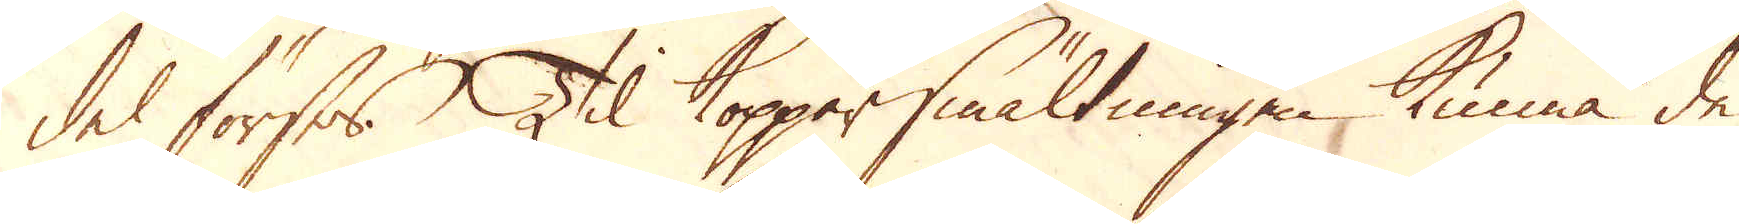del förses. Til Kopparsmältningen kunna de
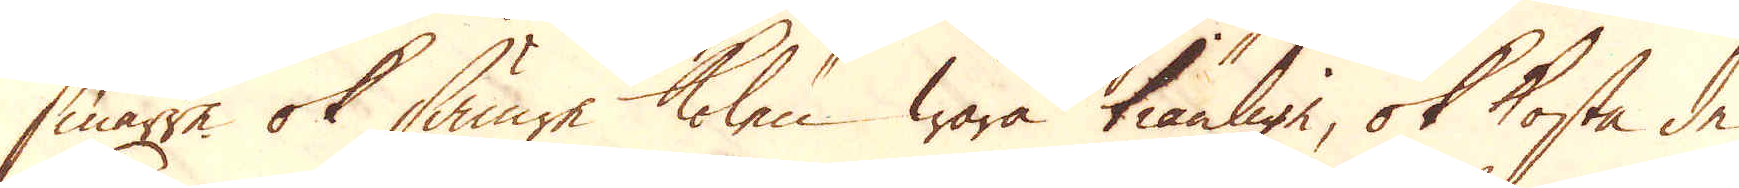smärre ok sämre kolen wara tiänlige, ok kosta de
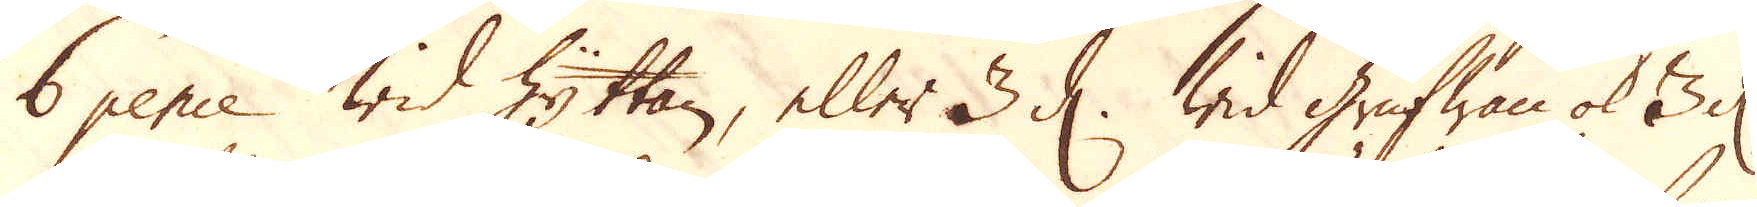6 pence wid Hyttan, eller 3 d. wid Grufwan ok 3 d
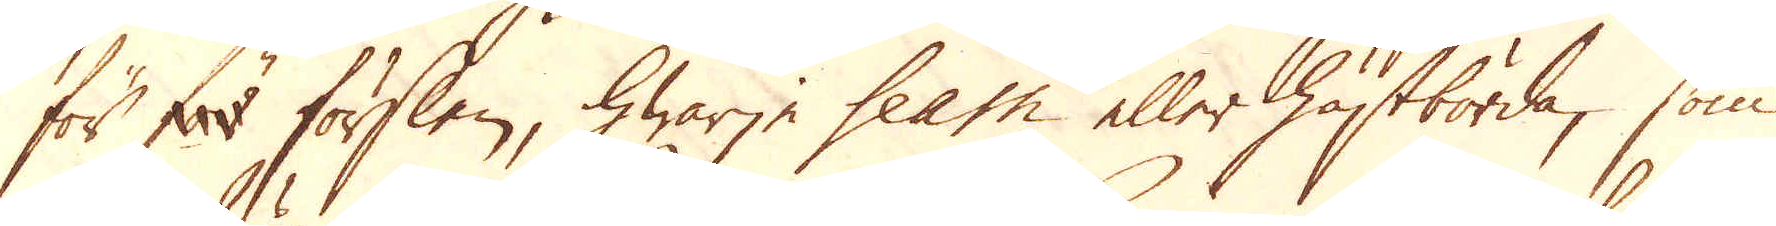för för förslen, hwarje seam eller hästbörda, som
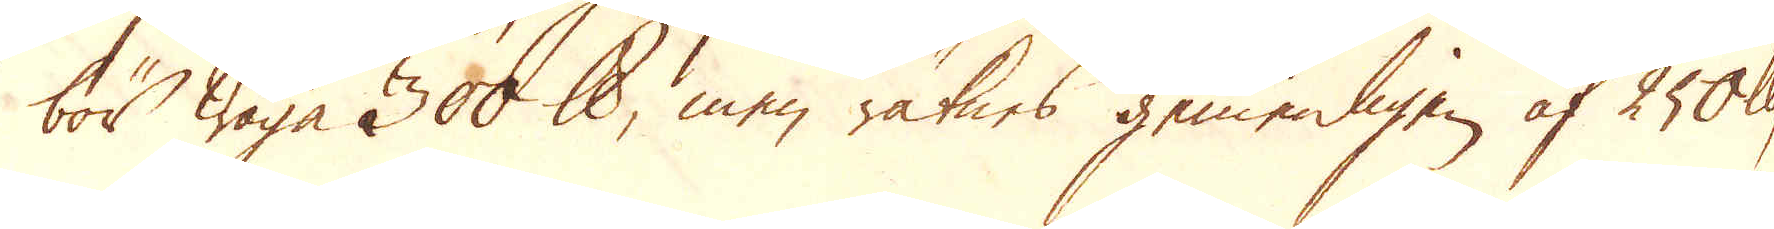bör wäga 300 skålpund, men räknes gemenligen af 250 skålpund,
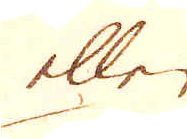eller
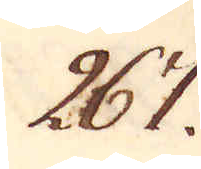267.
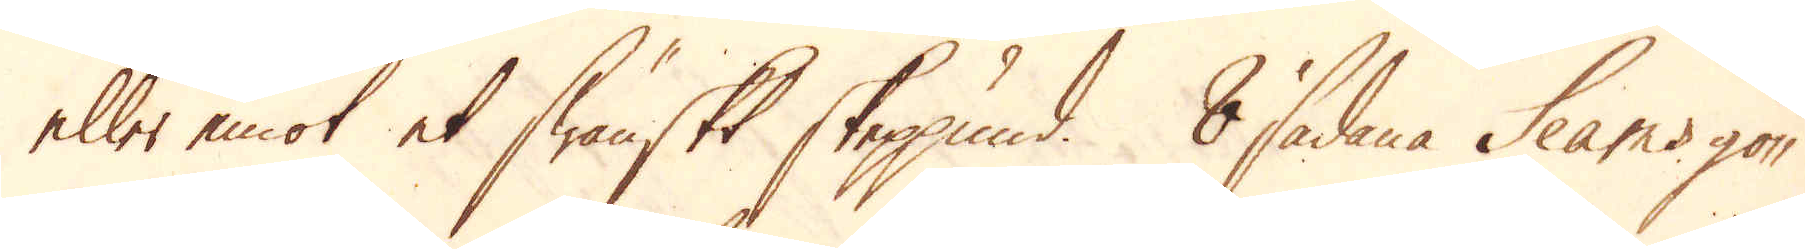eller emot et Swänskt skeppund. 8 sådana Seams gö-
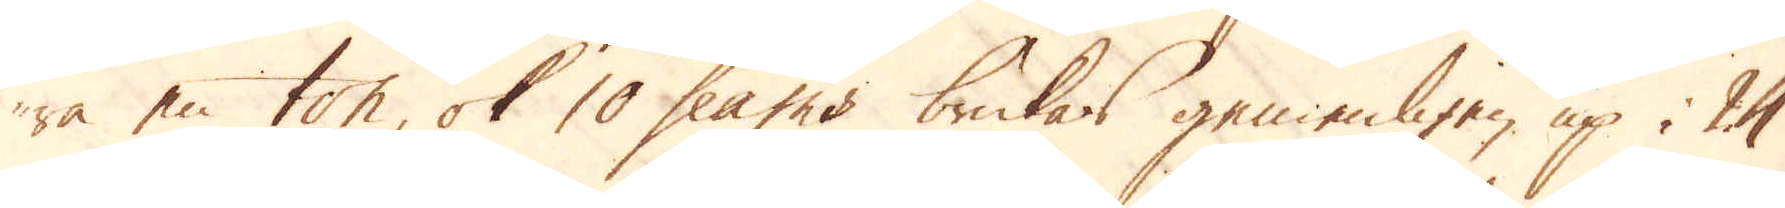ra en ton, ok 10 seams brukas gemenligen up i 24
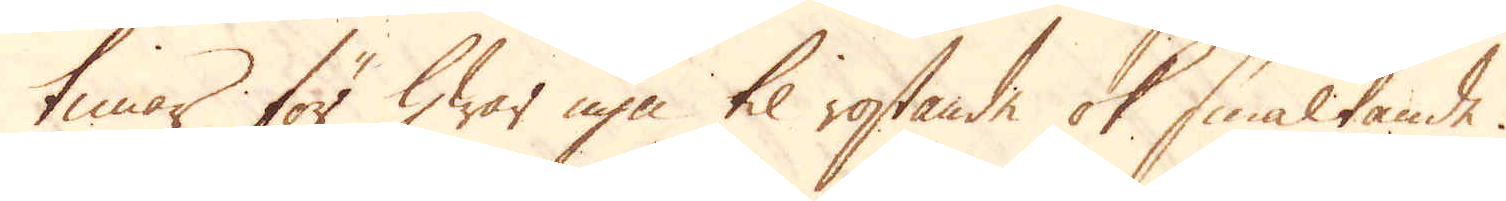timar för hwar ugn til rostande ok smältande.
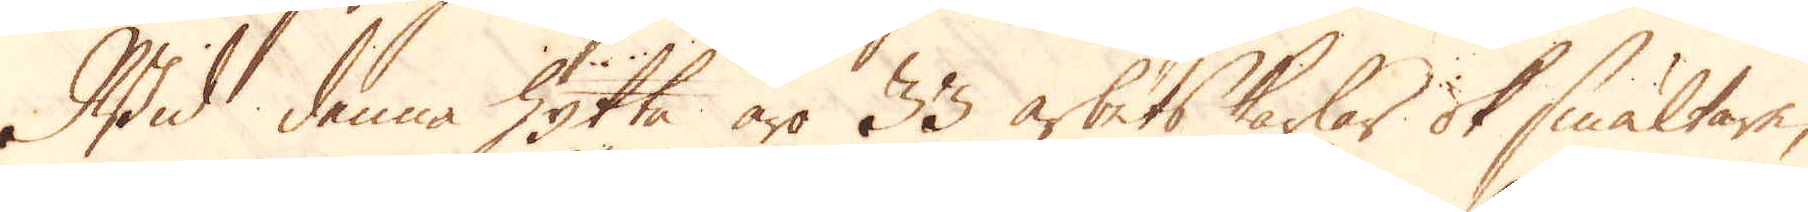Wid denna hytta äro 33 arbetskarlar ok smältare,
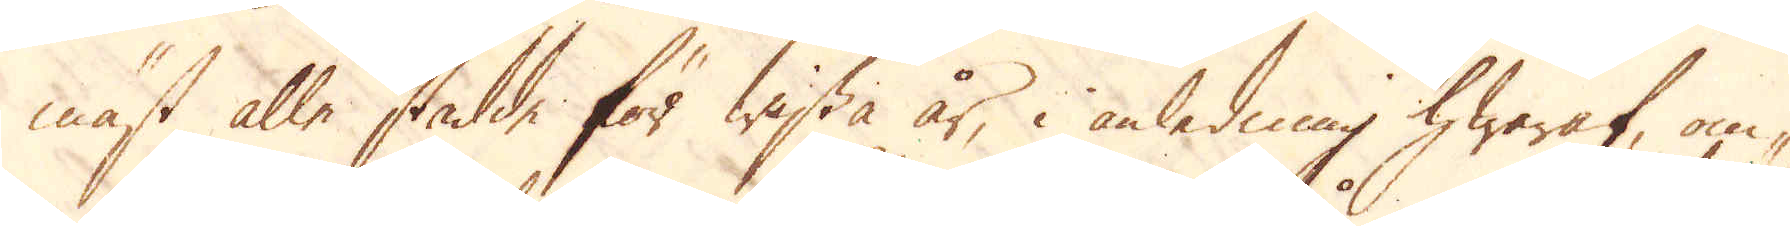mäst alle stadde för wissa år, i anledning hwaraf, om-
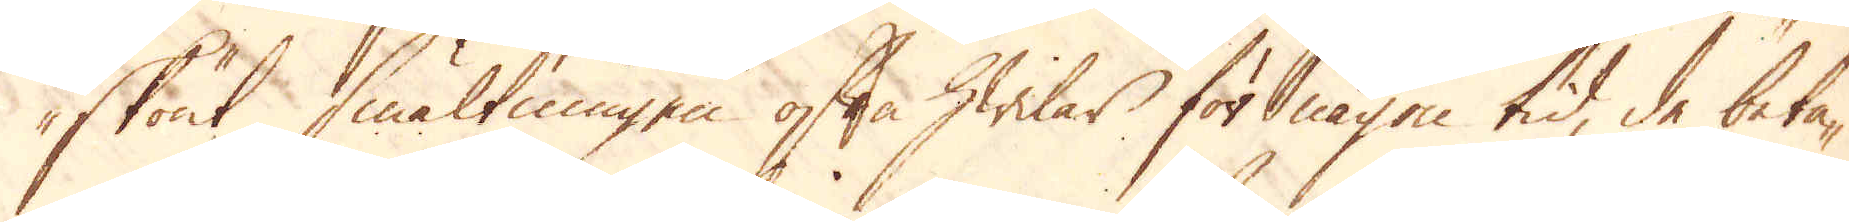skönt smältningen ofta hwilar för någon tid, de beta-
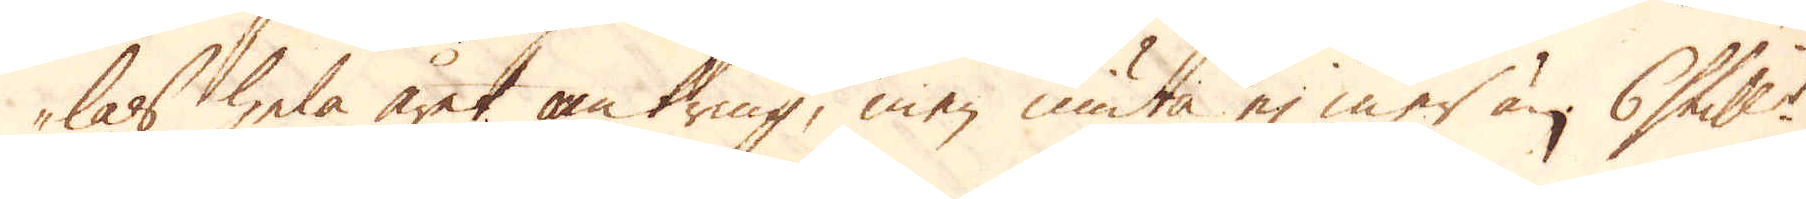las hela året omkring, men niuta ej mer än 6 Skill:r
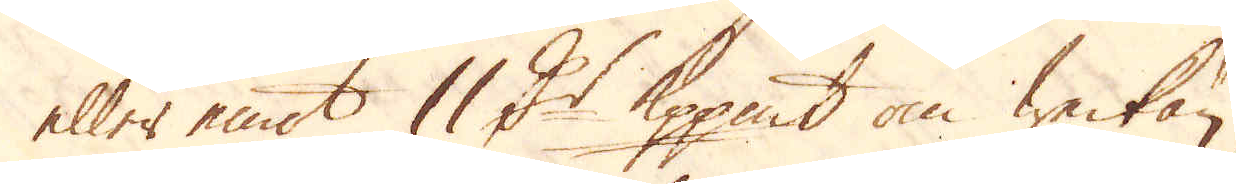eller emot 11 D:r Kopp:mt om weckan.
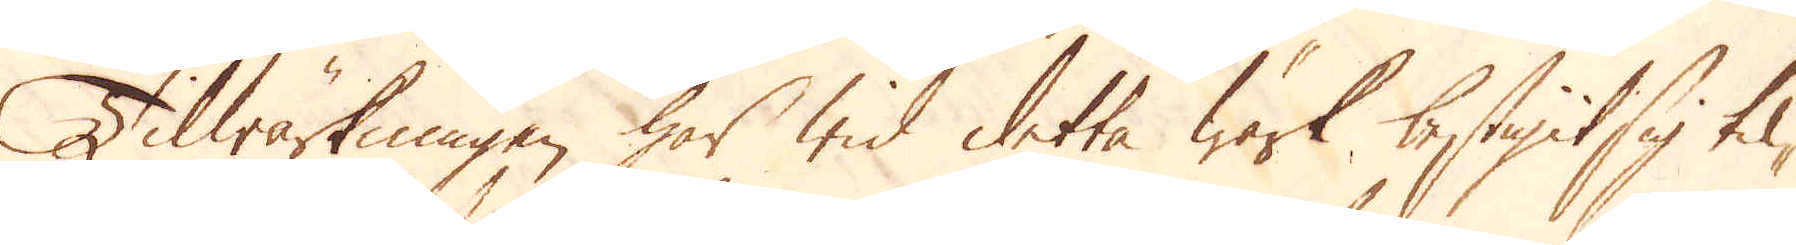Tilwärkningen har wid detta Wärk bestigit sig til-
